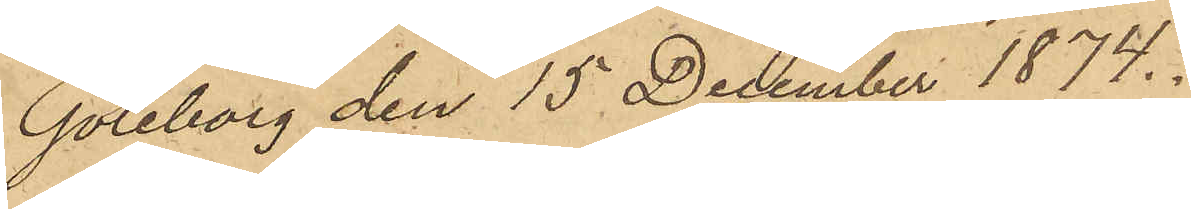Göteborg den 15 December 1874.
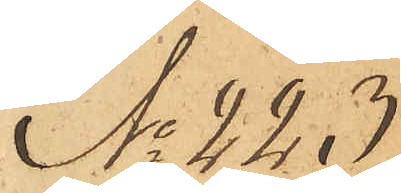No 223
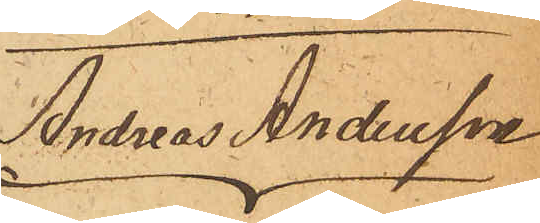Andreas Andersson
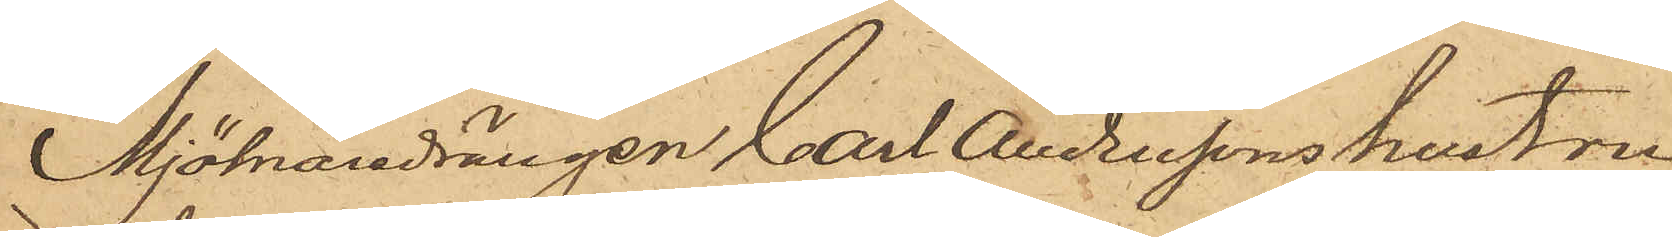Mjölnardrängen Carl Anderssons hustru
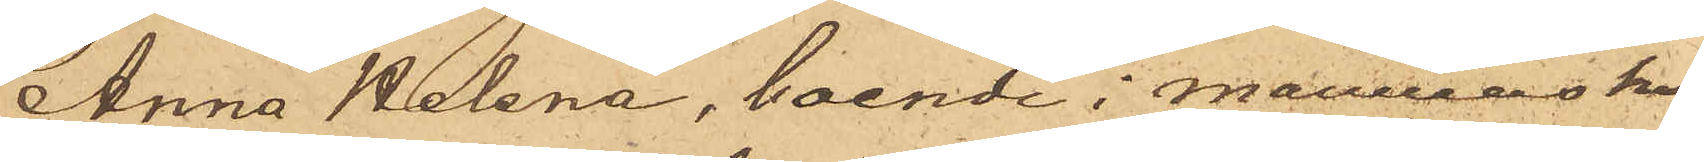Anna Helena, boende i mannens hus
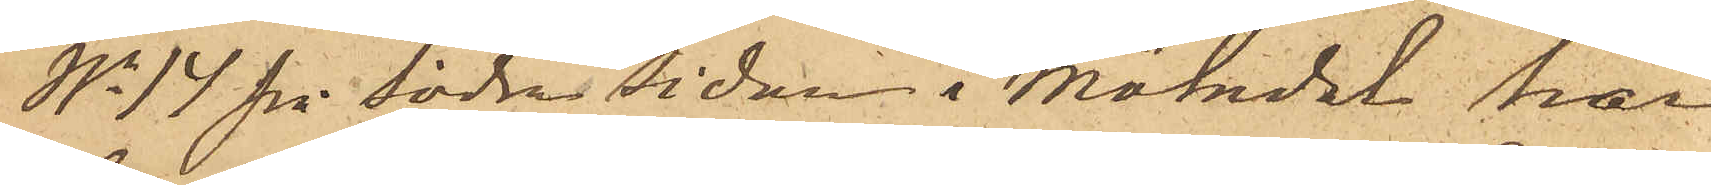No 14 på södra sidan i Mölndal har
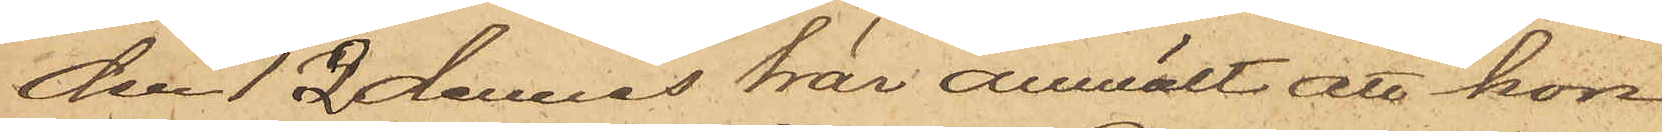den 12 dennes här anmält att hon
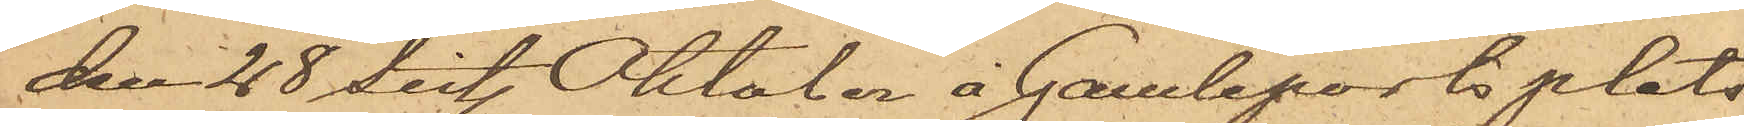den 28 sist. Oktober å Gamleports plats
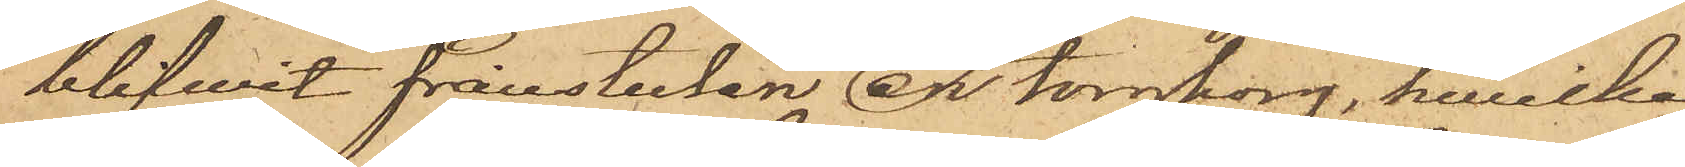blifwit frånstulen en torgkorg, hwilken
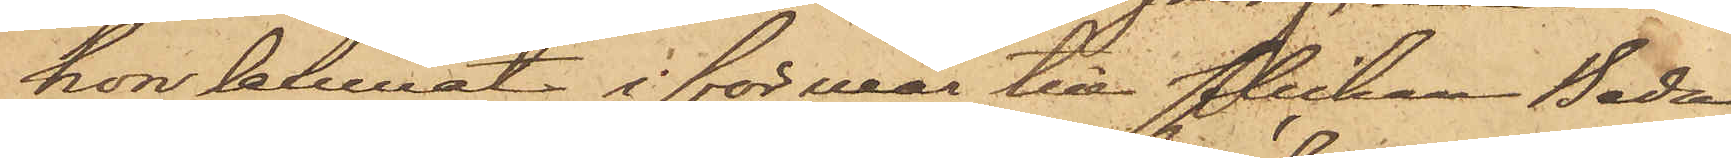hon lemnat i förvar till flickan Beda
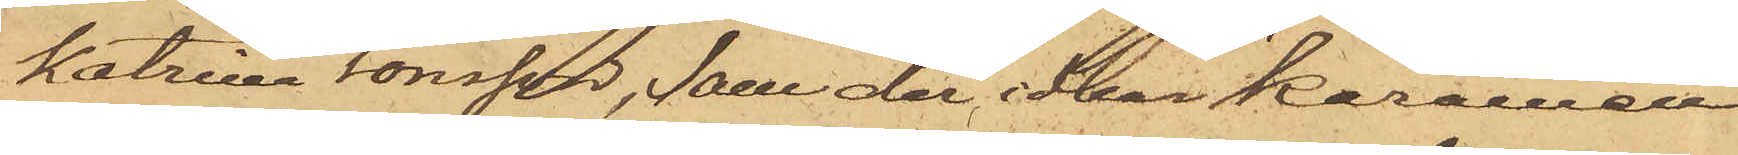Katrina Jonsson, som der idkar karamell¬
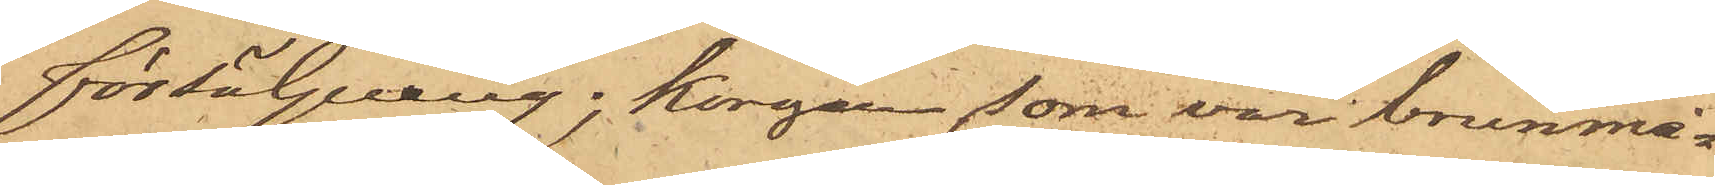försäljning; korgen som var brunmå¬
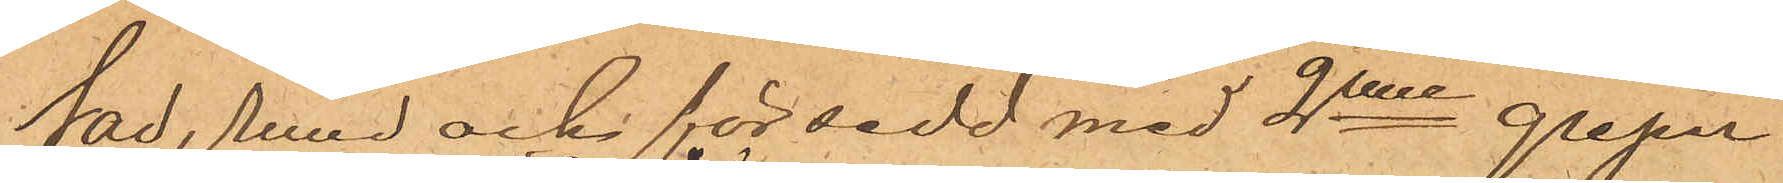tad, rund och försedd med 2nne grepar
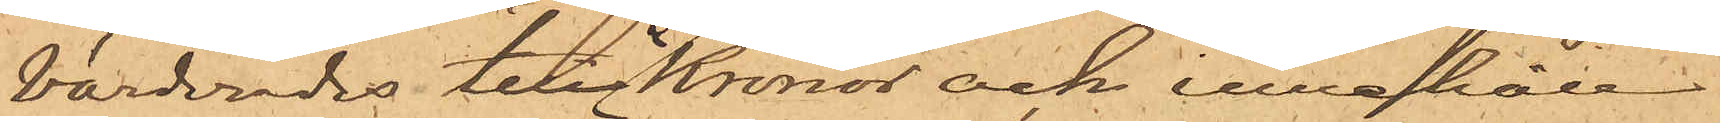värderades till 2 kronor och innehöll
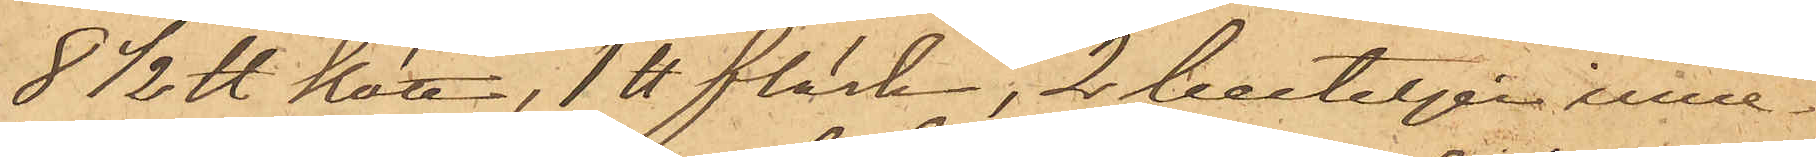8½ ℔ kött, 1℔ fläsk, 2 buteljer inne¬
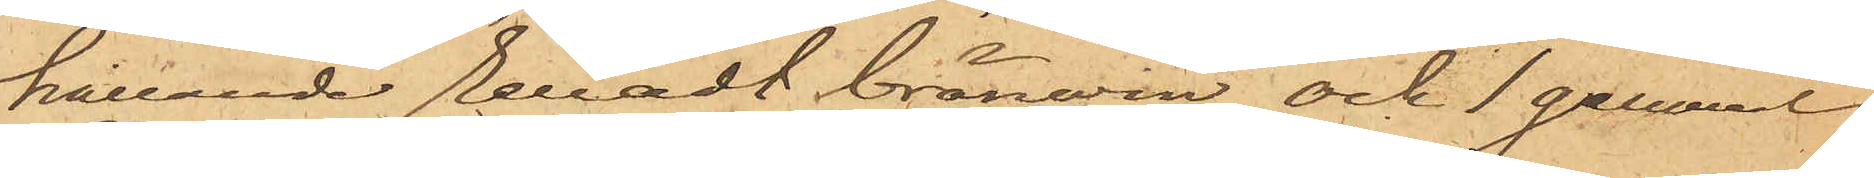hållande renadt bränvin och 1 gammal
